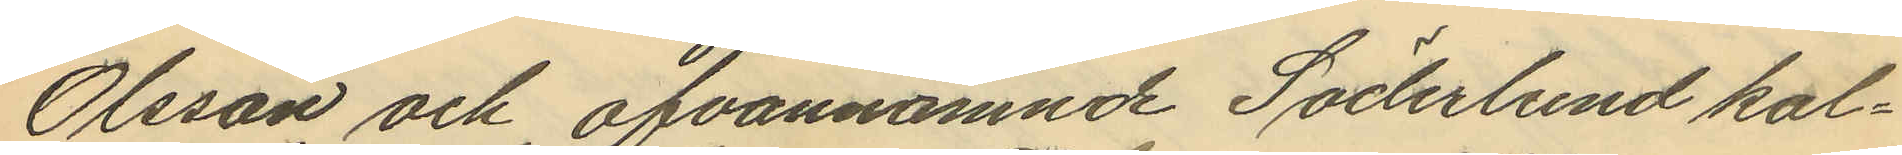Olsson och ofvannämnde Söderlund kal¬
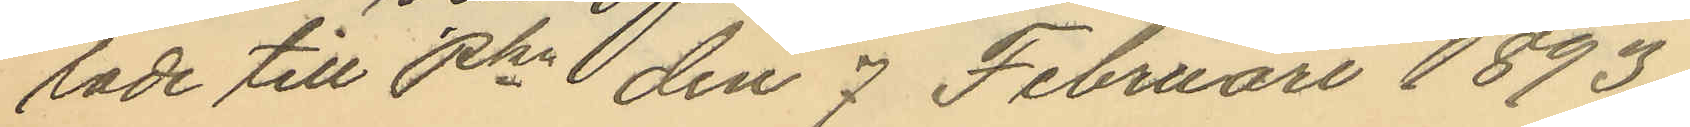lade till Pkn den 7 Februari 1893.
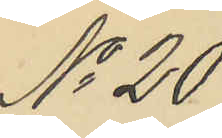No 20
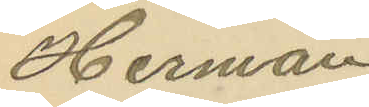Herman
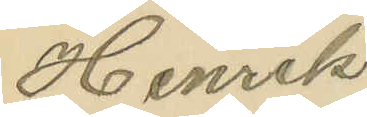Henrik
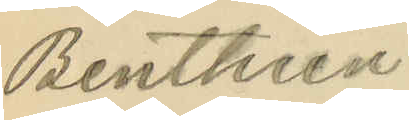Benthien
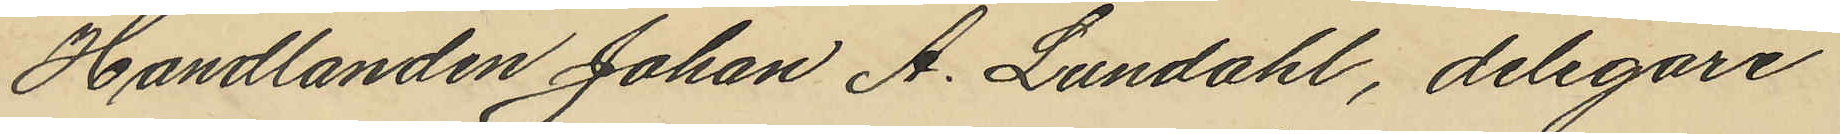Handlanden Johan A. Lundahl, delegare
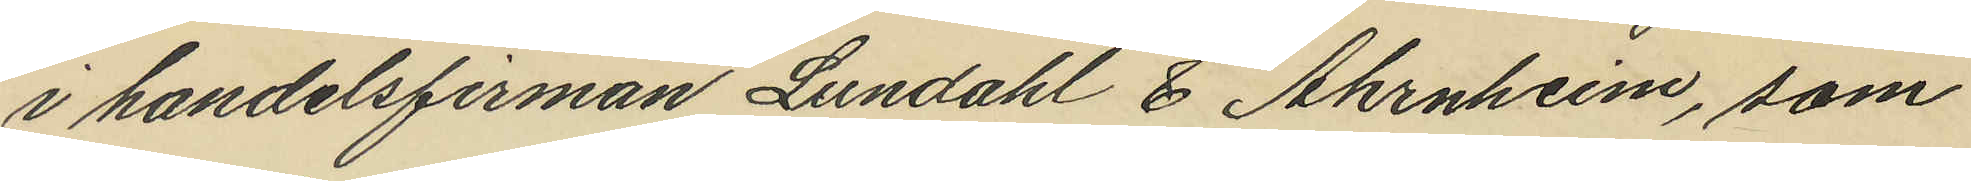i handelsfirman Lundahl & Ahrnheim, som
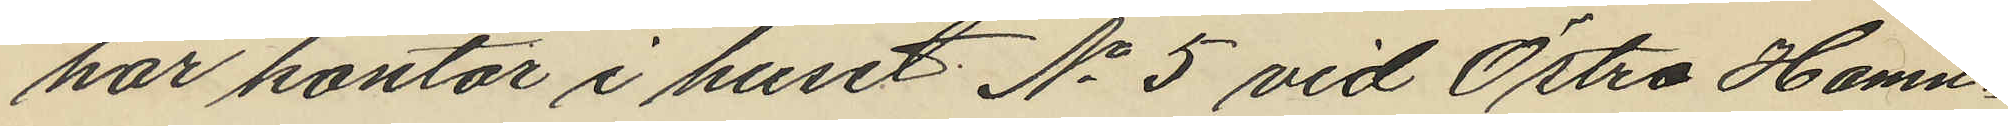har kontor i huset No 5 vid Östra Hamn¬
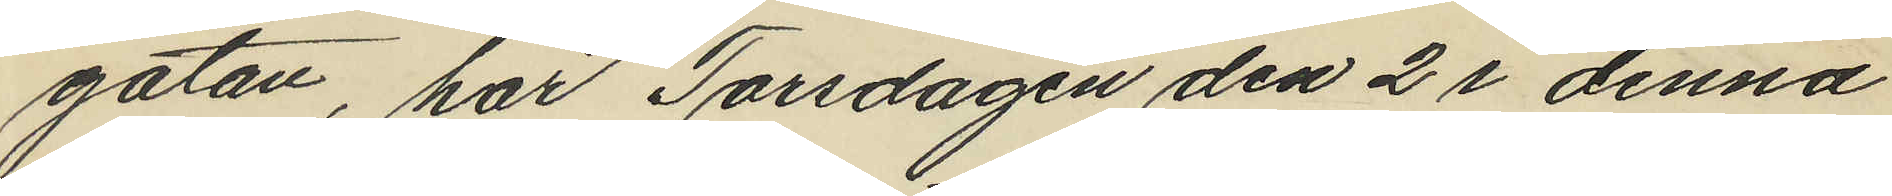gatan, har Torsdagen den 2 i denna
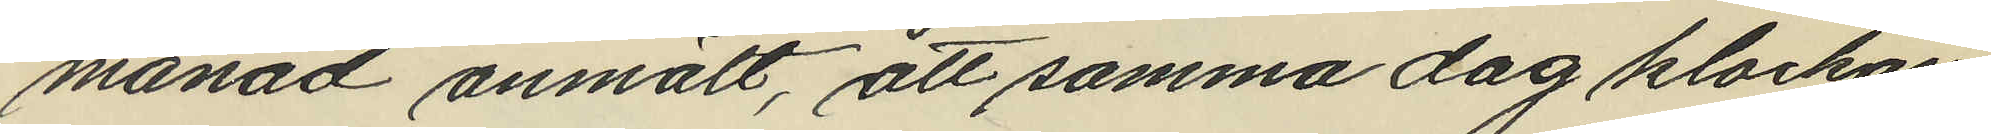månad anmält, att samma dag klockan
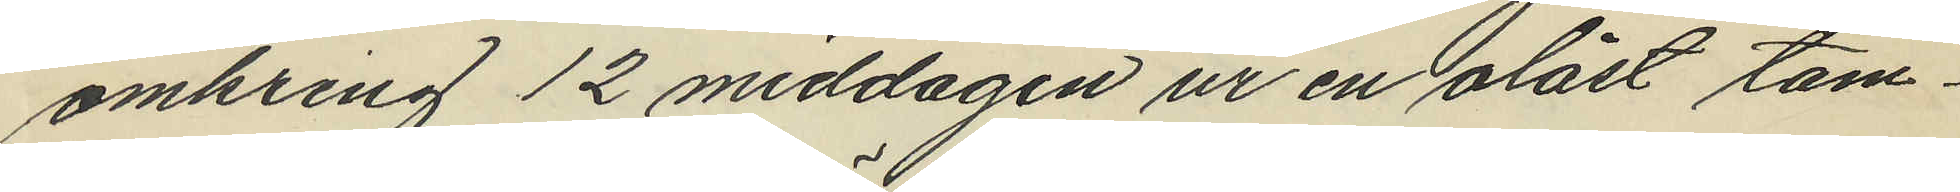omkring 12 middagen ur en olåst tam¬
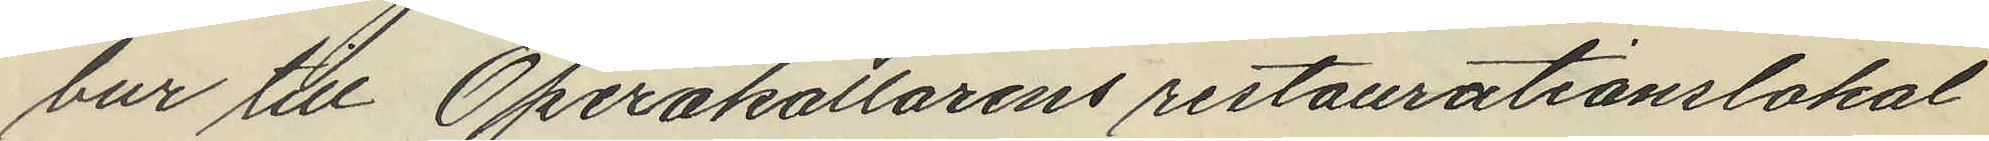bur till Operakällarens restaurationslokal
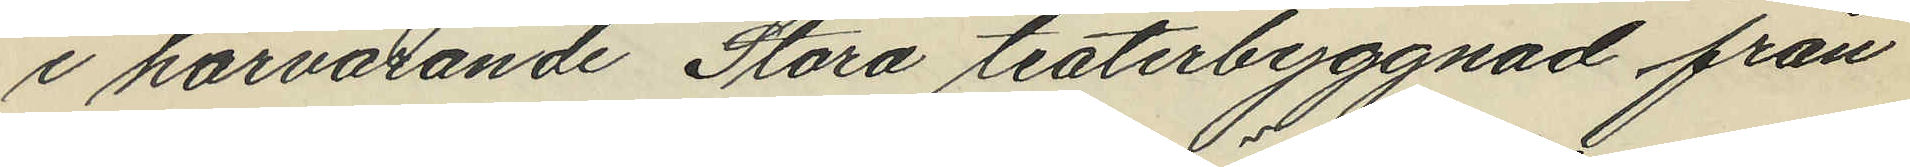i härvarande Stora teaterbyggnad från
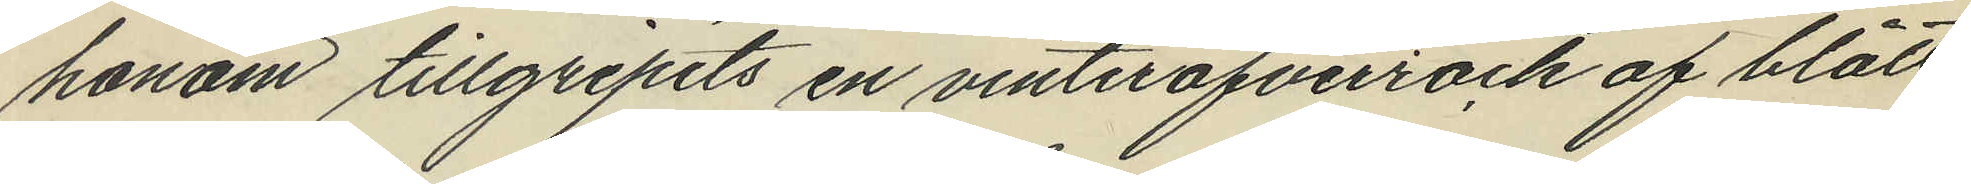honom tillgripits en vinteröfverrock af blått
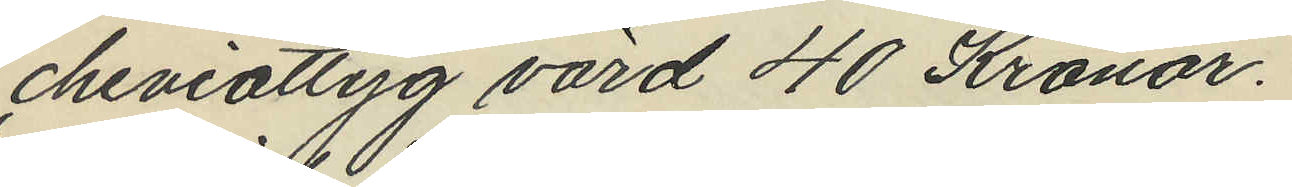cheviottyg värd 40 Kronor.
